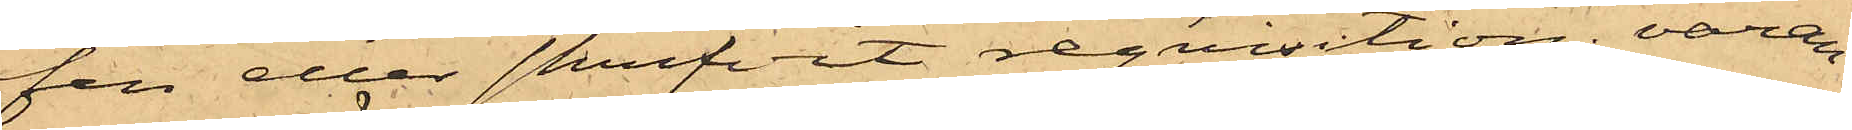fen eller skrifvit reqvisition, varan¬
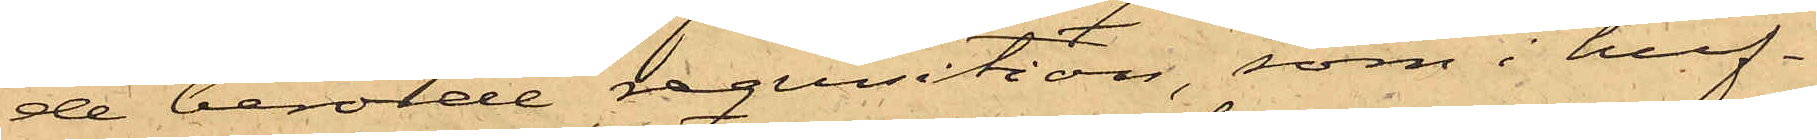de berörde reqvisition, som i huf¬
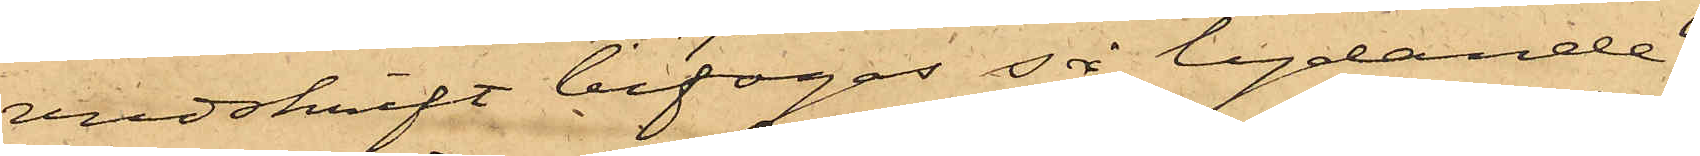vudskrift bifogas så lydande.
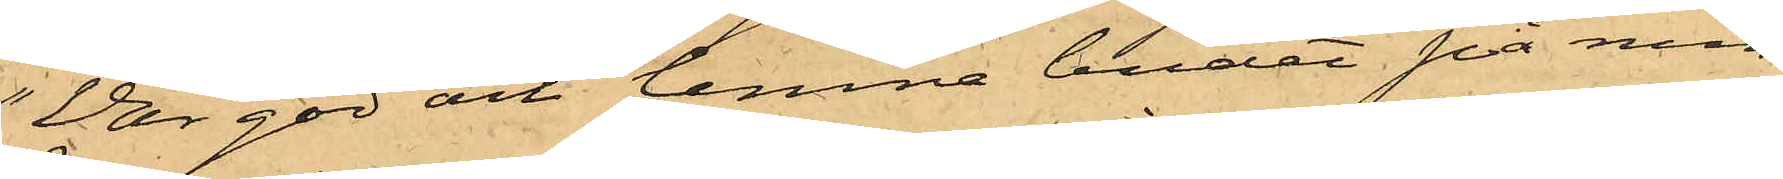"Var god och lemna budet på min
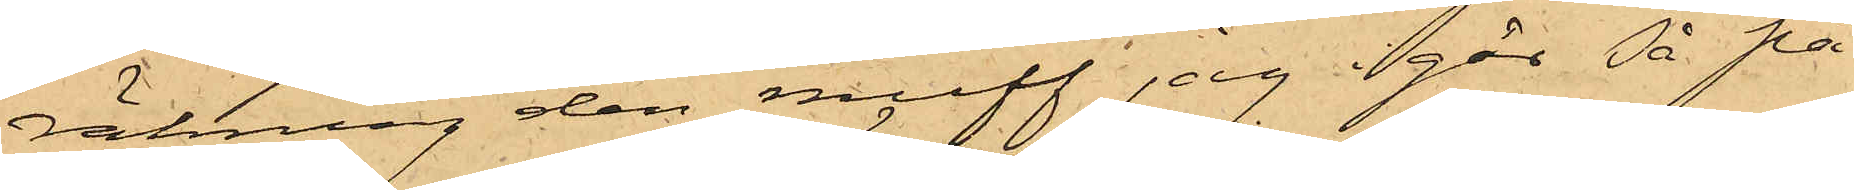räkning den muff jag i går så på
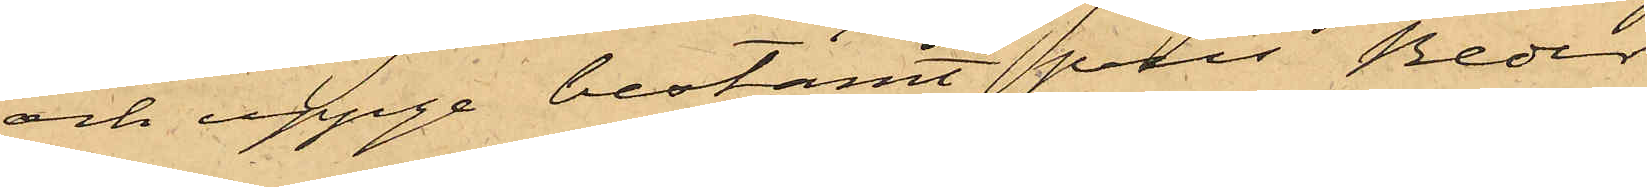och uppge bestämt pris Beder
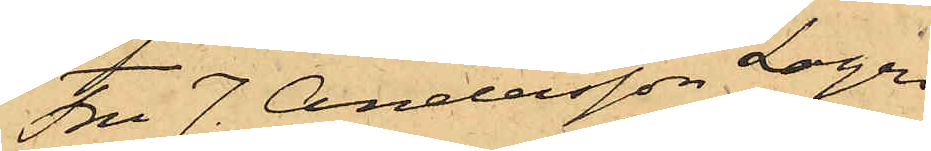Fru J. Andersson Logen
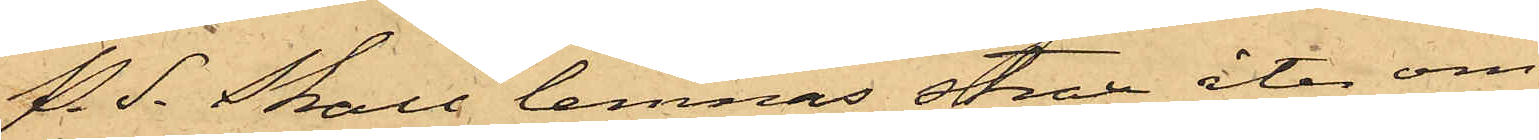P. S. Skall lemnas strax åter om
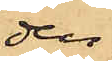den
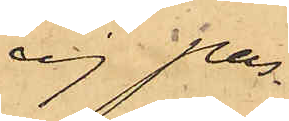ej pas¬
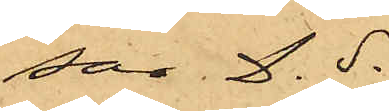sar. D.S."
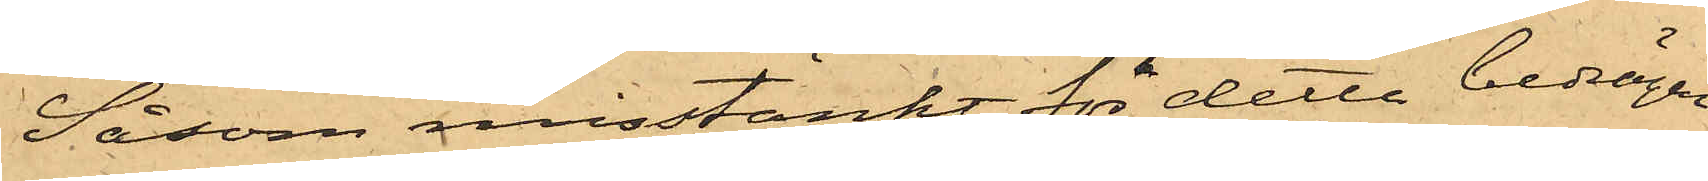Såsom misstänkt för detta bedrägeri
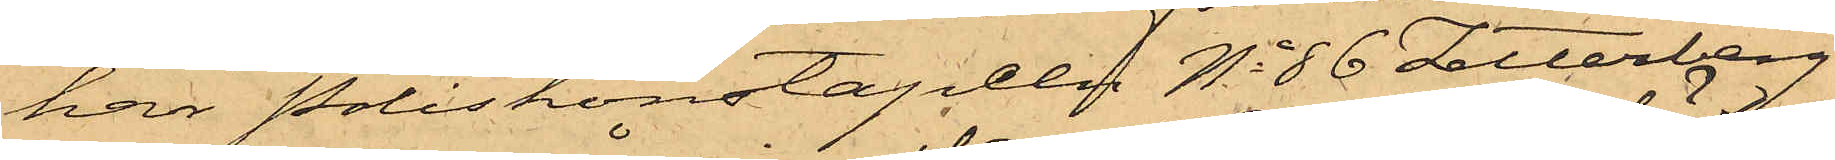har Poliskonstapeln No 86 Zetterberg
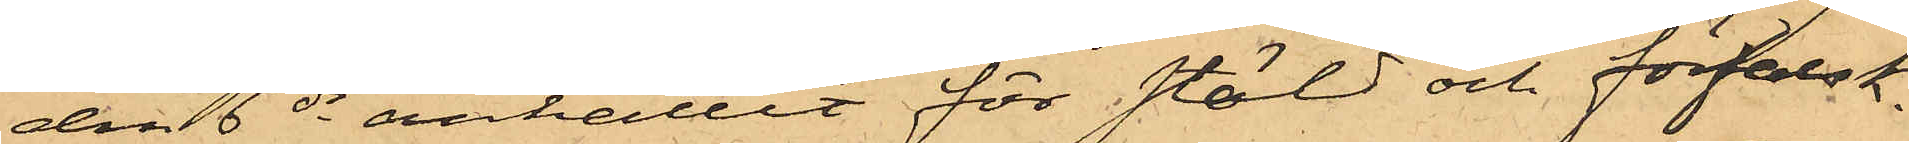den 6 ds anhållit för stöld och förfalsk¬
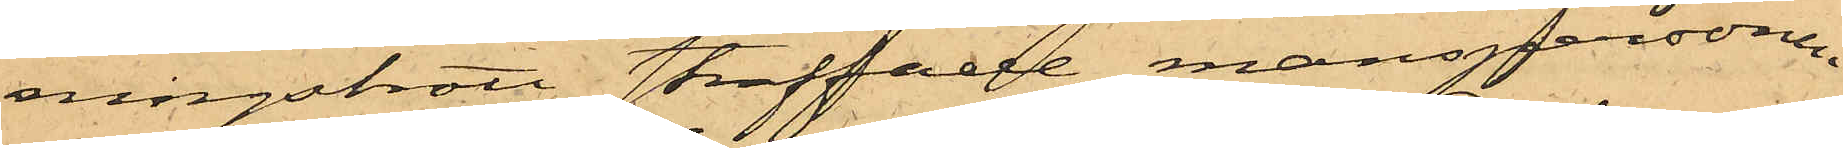ningsbrott straffade manspersonen
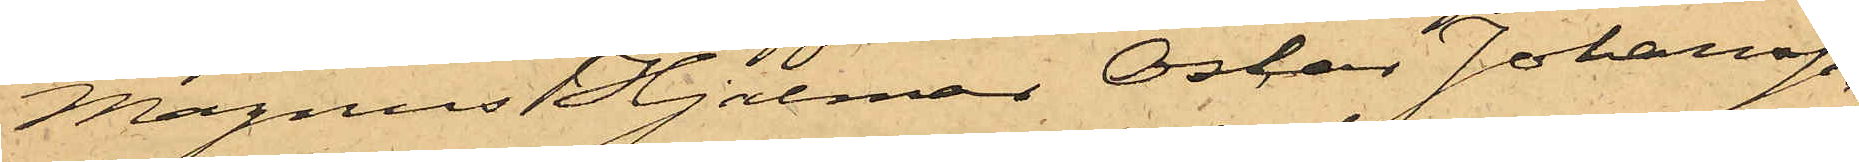Magnus Hjalmar Oskar Johansson,
